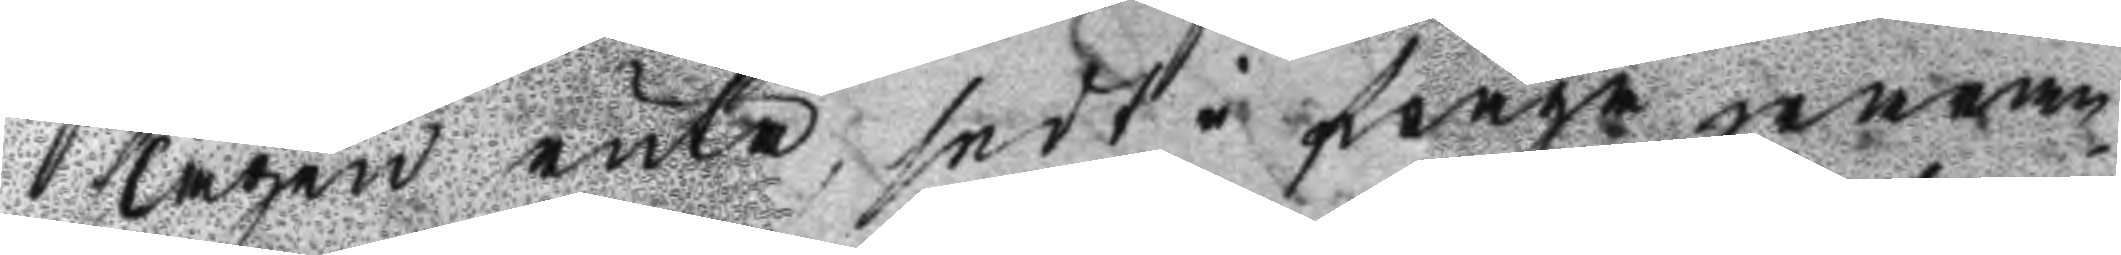slagen ruta, sedt i fråga waran¬
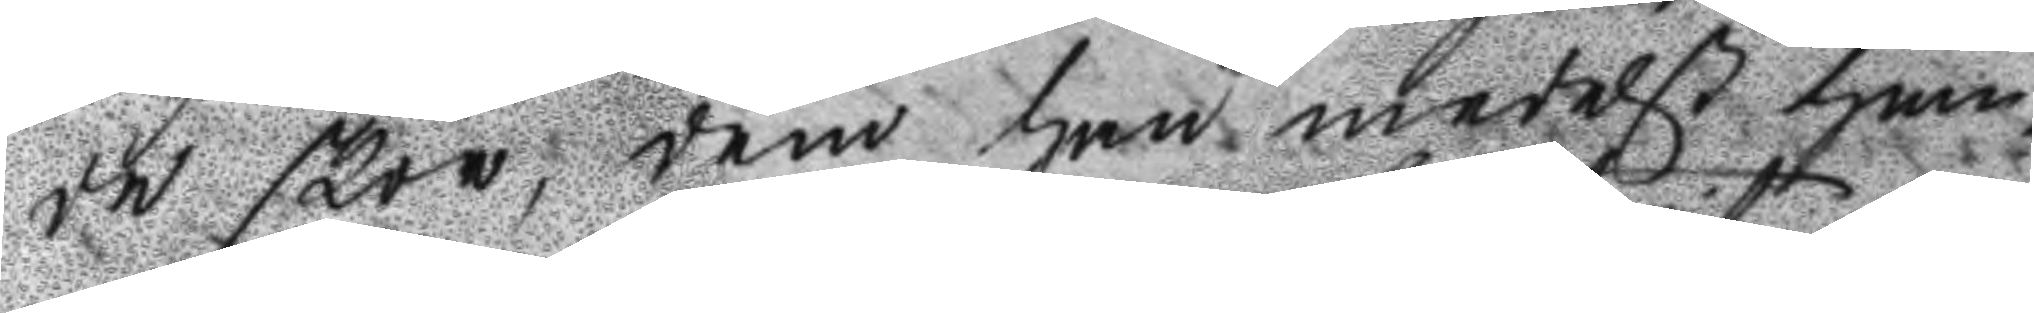de skor, dem han medelst hem¬
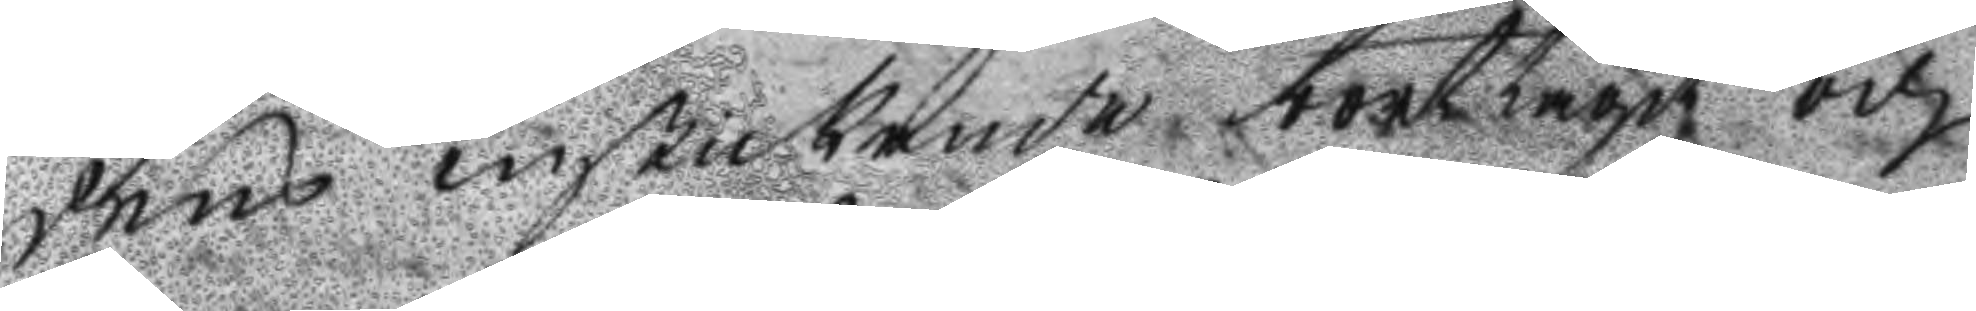dens inskickande borttagit och
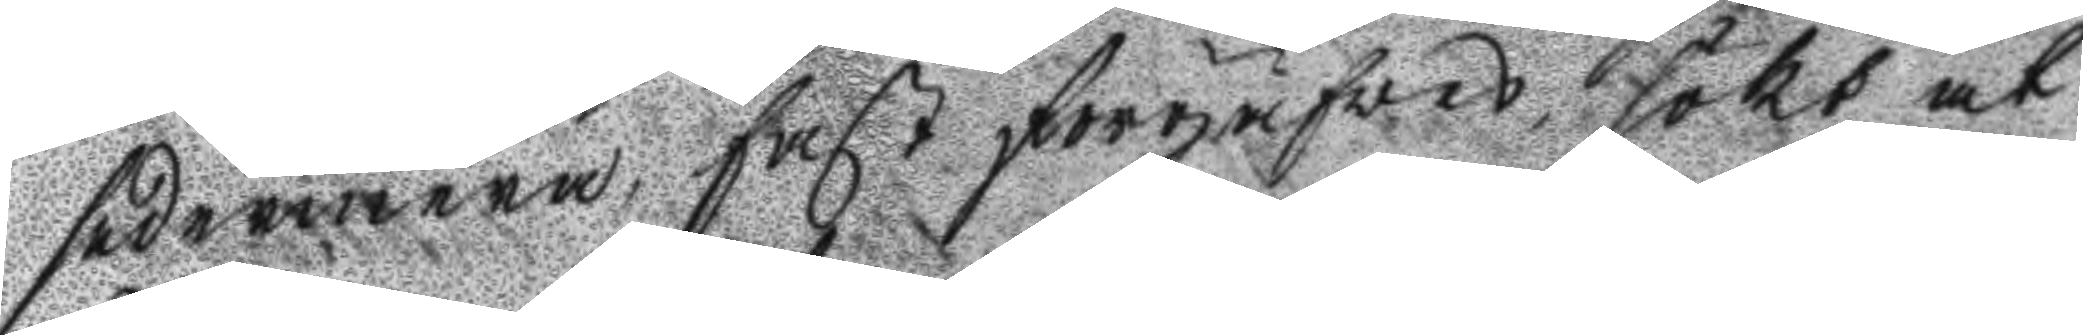sedermera, fast förgäfves sökt at
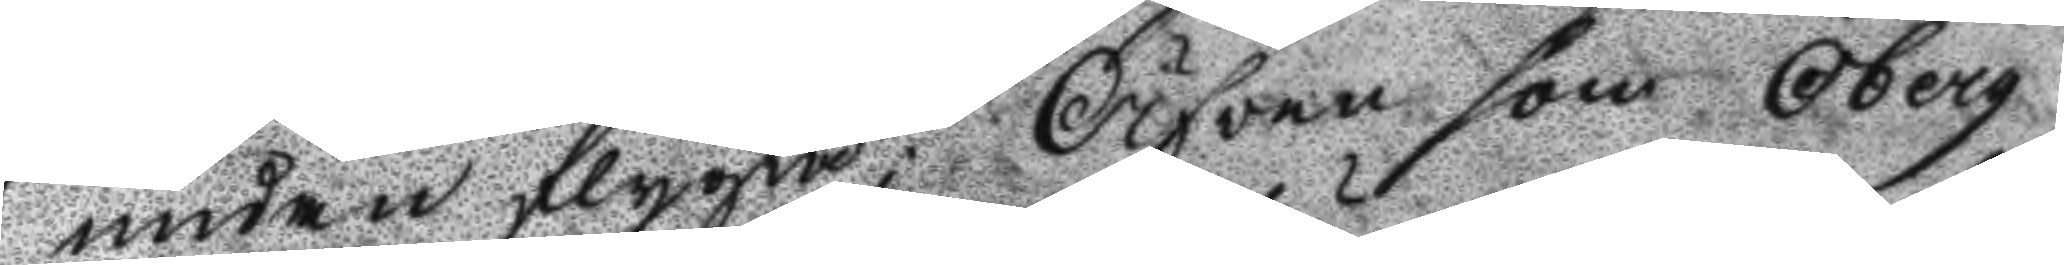undan flygta; Äfven som Öberg
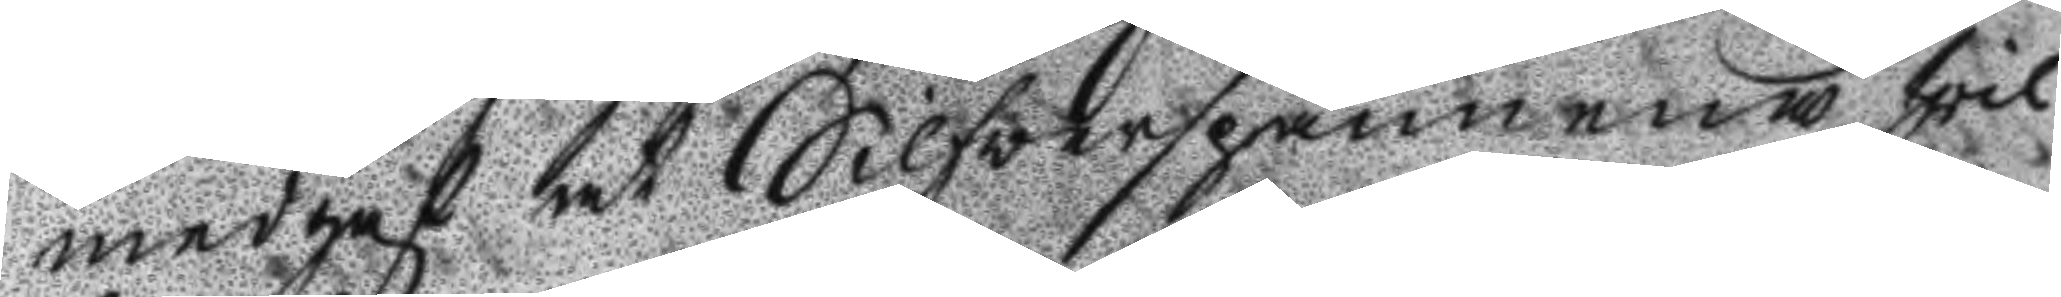medgaf at Silfverspännena hvil¬
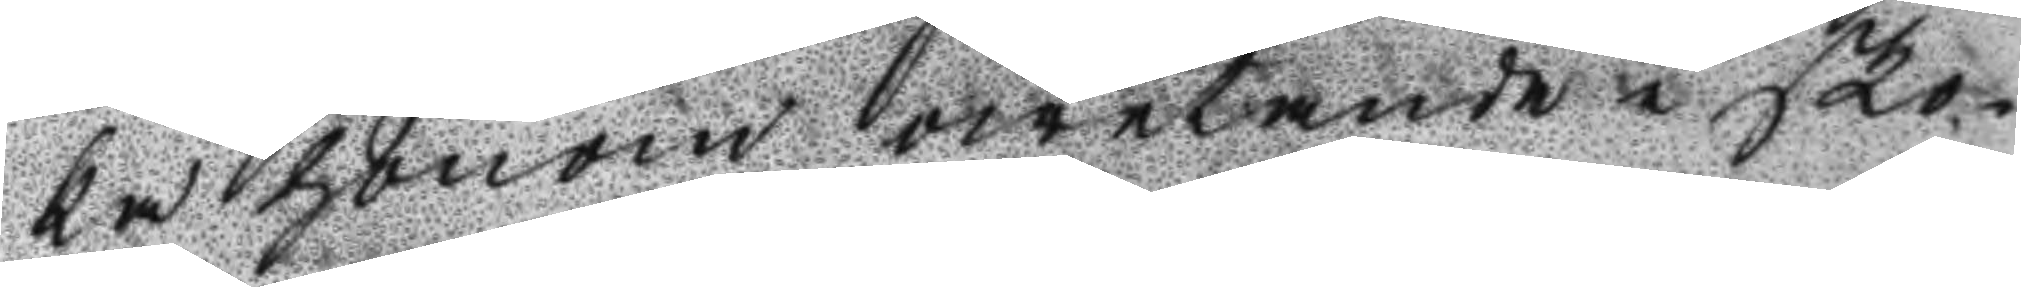ka honom owetande i sko¬
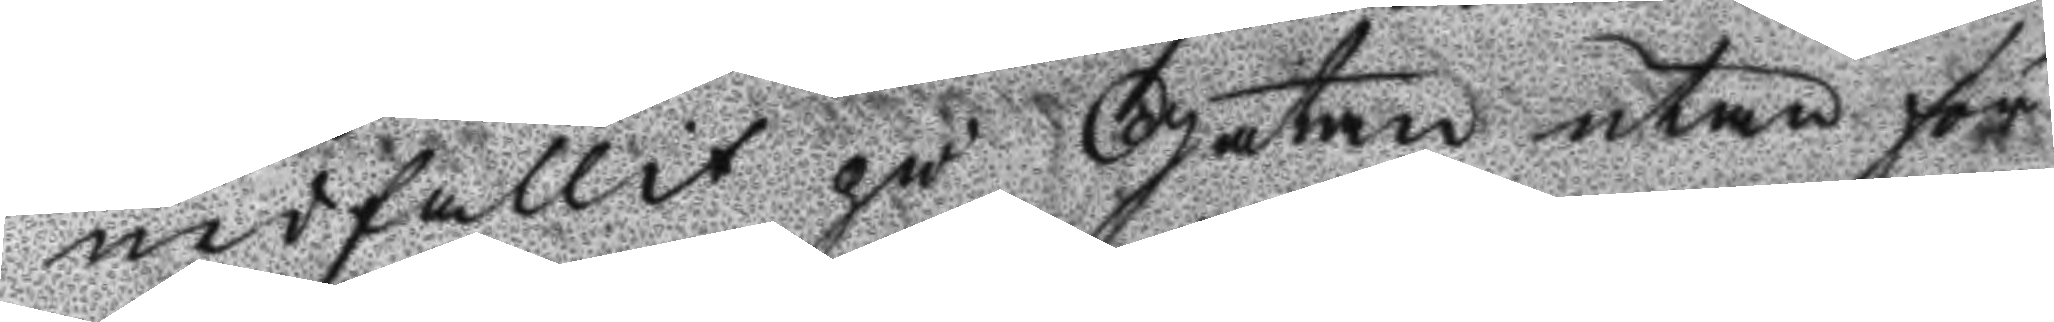nedfallit på Gatan utan för
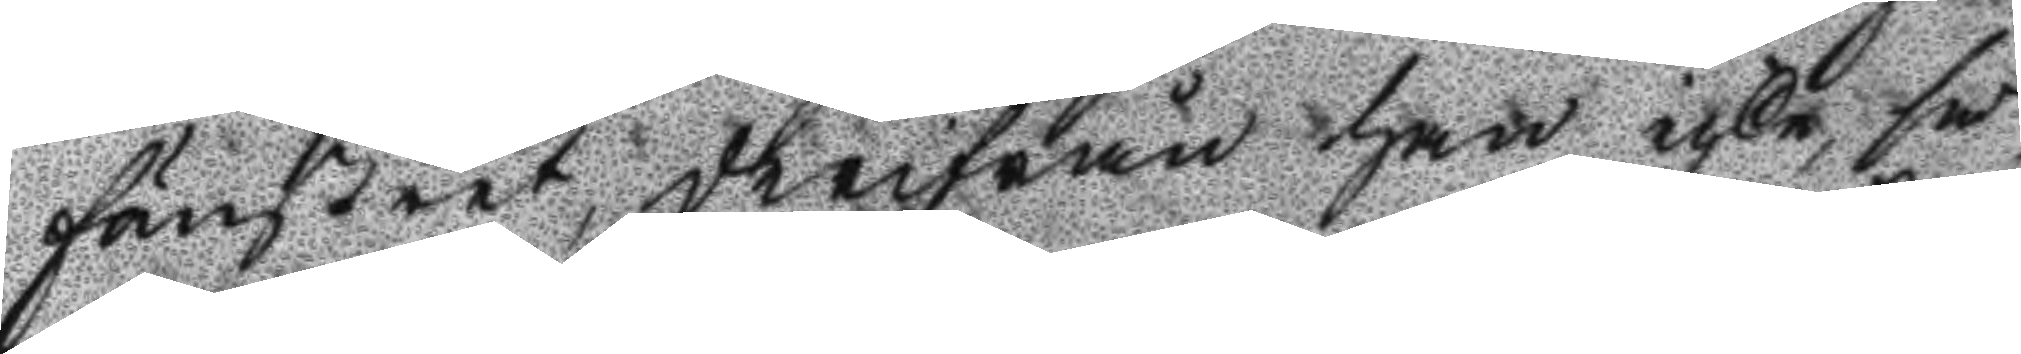fönstret, derifrån han icke så
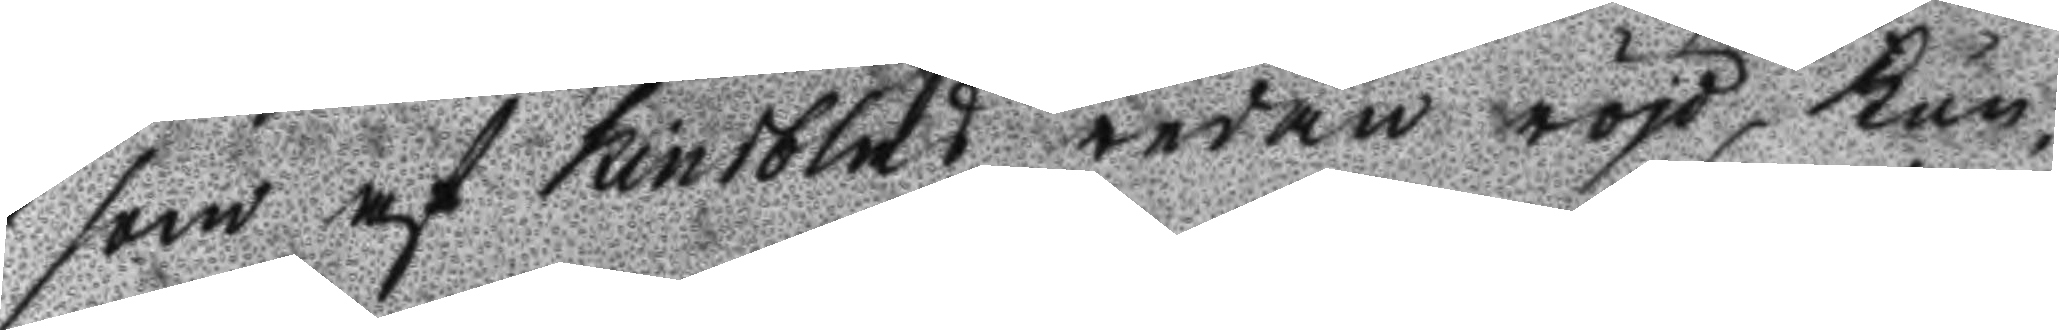som af kindblad redan röjd, kun¬
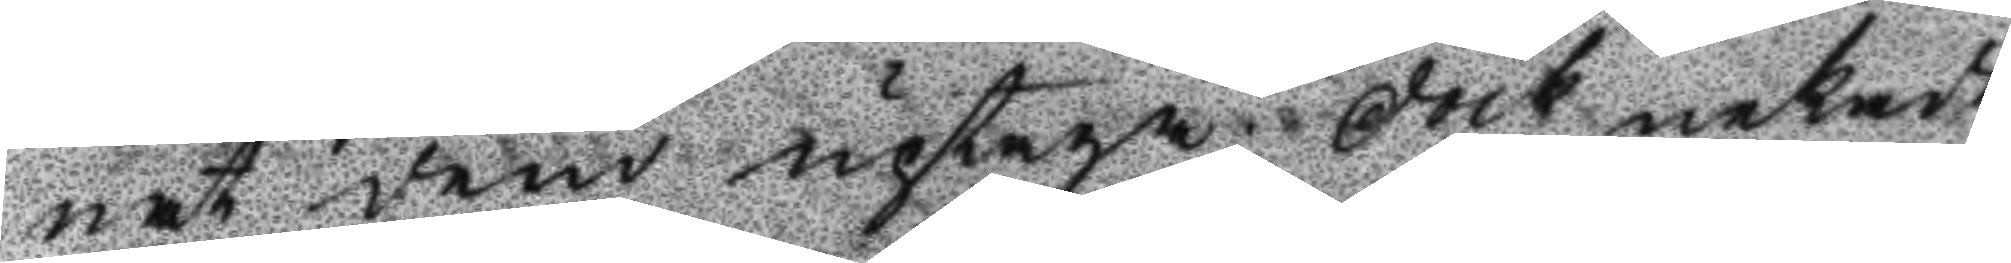nat dem uptaga; Dock nekade
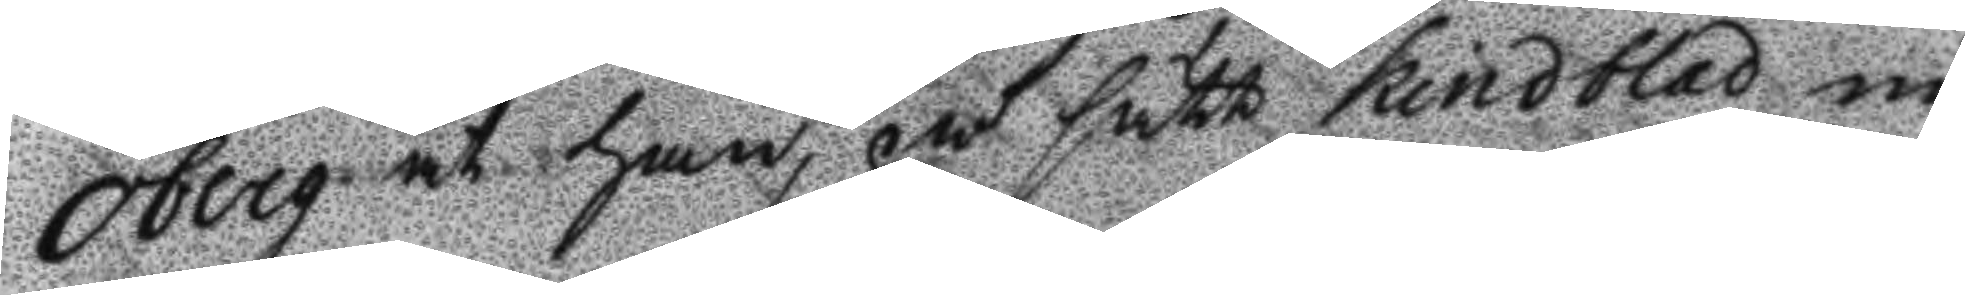Öberg at han, på sätt Kindblad nu
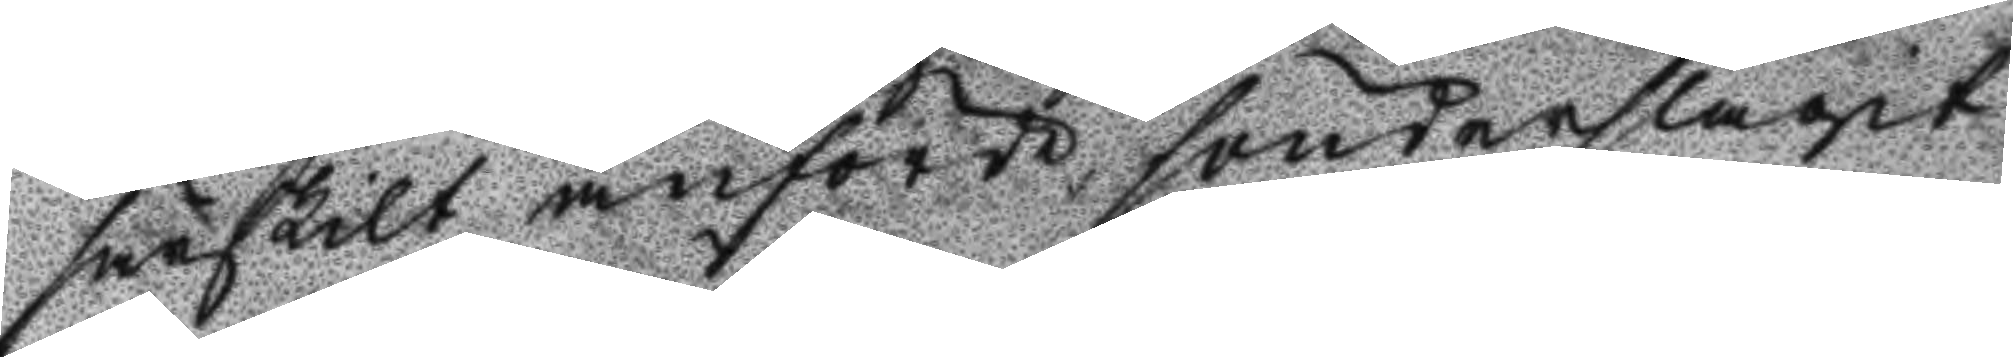särskilt anförde sönderslagit
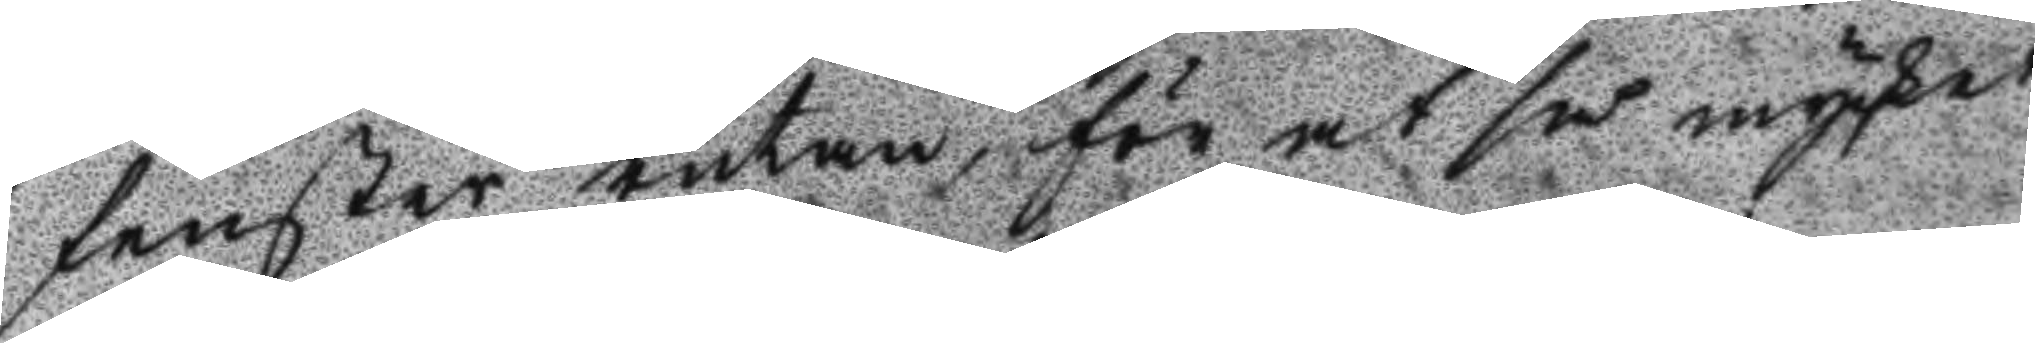fenster rutan, för at så mycket
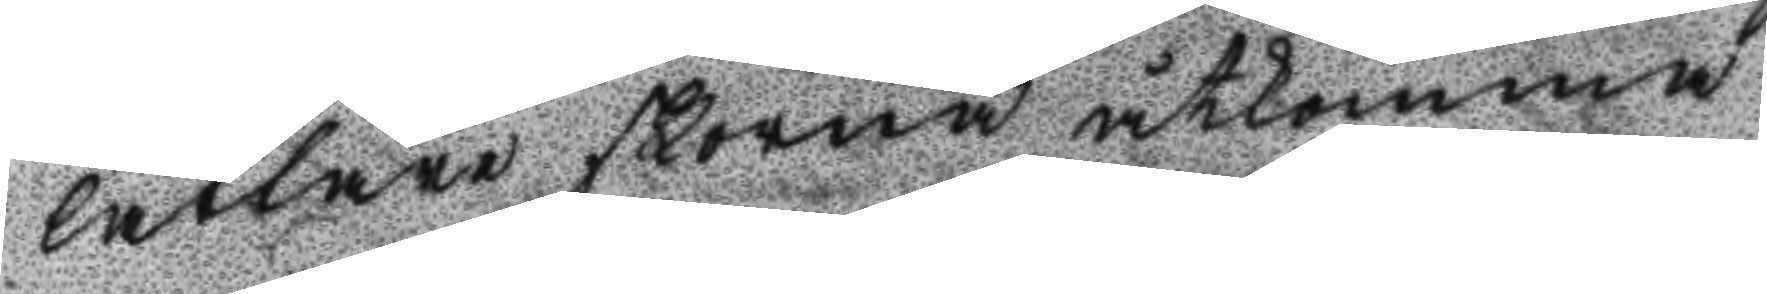lättare skorna åtkomma.
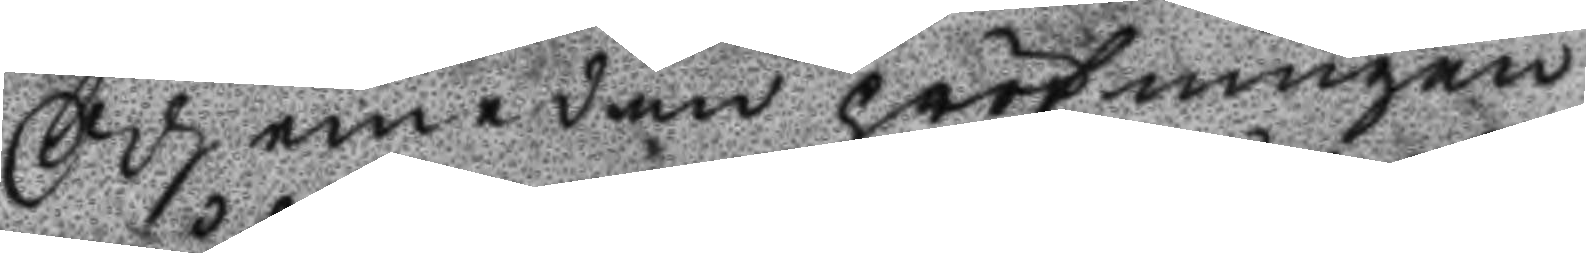Och emedan pröfningen
